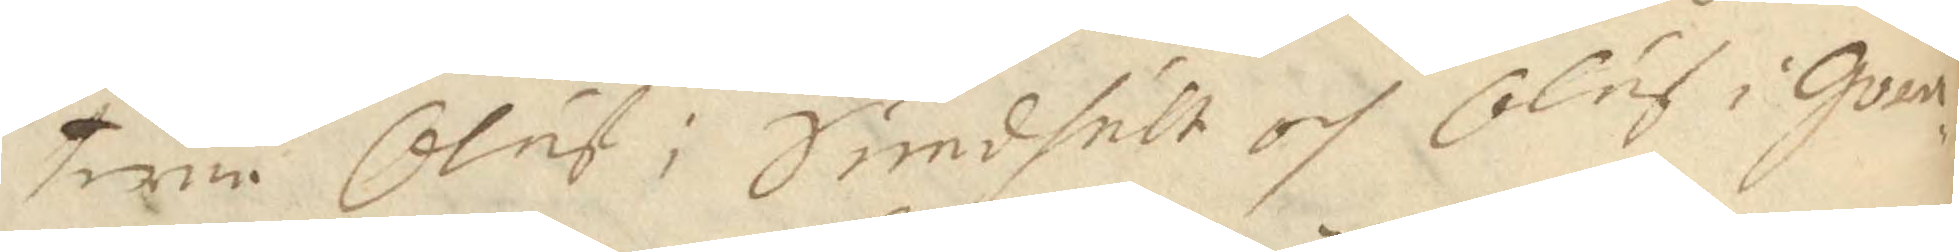terne Oluf i Sundhult och Oluf i Göra¬
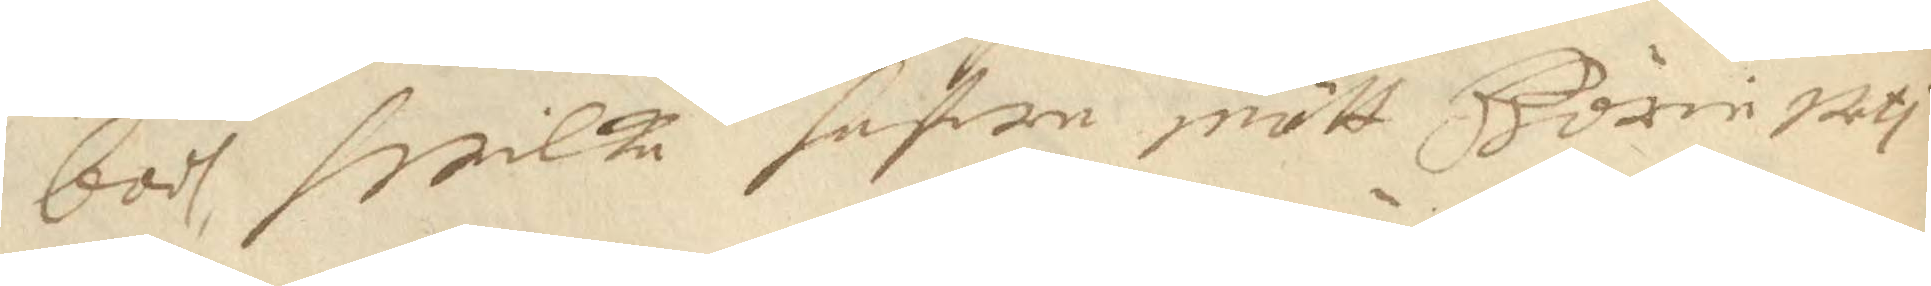bodh, hwilke hafwe mött Börie uti
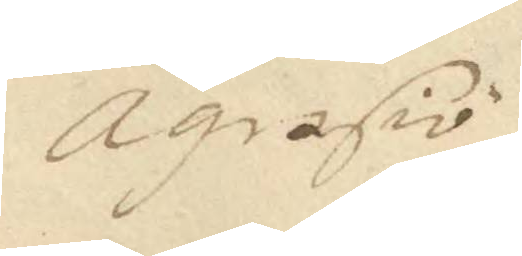Ägrasiö
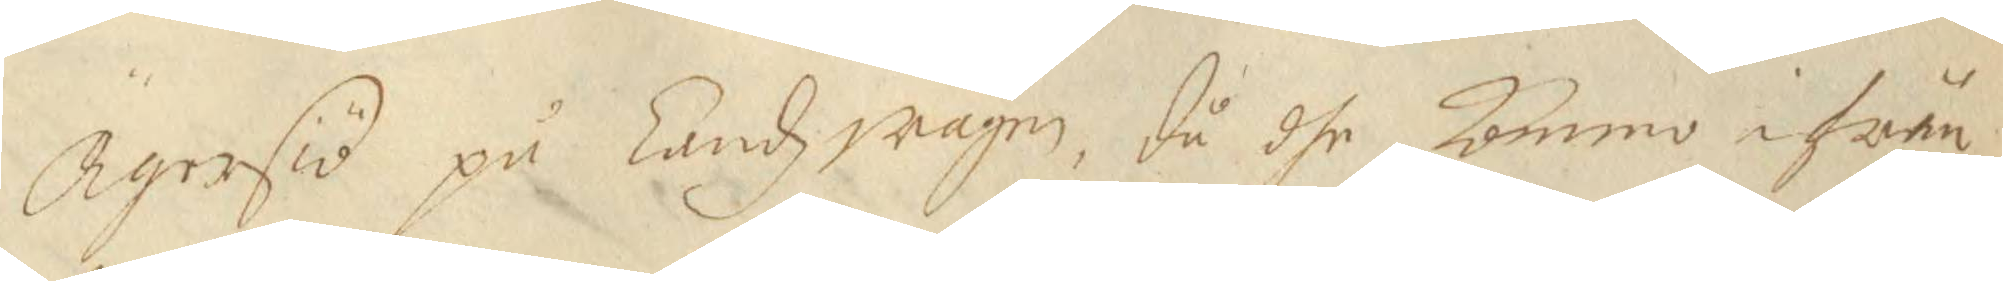Ägersiö på Landzwägen, då dhe kommo ifrån
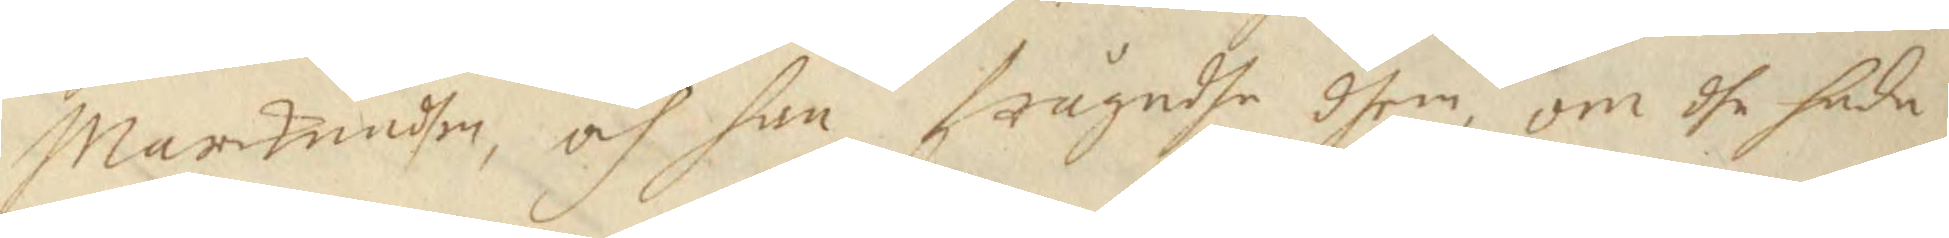Marcknadhen, och han frågadhe dhem, om dhe hade
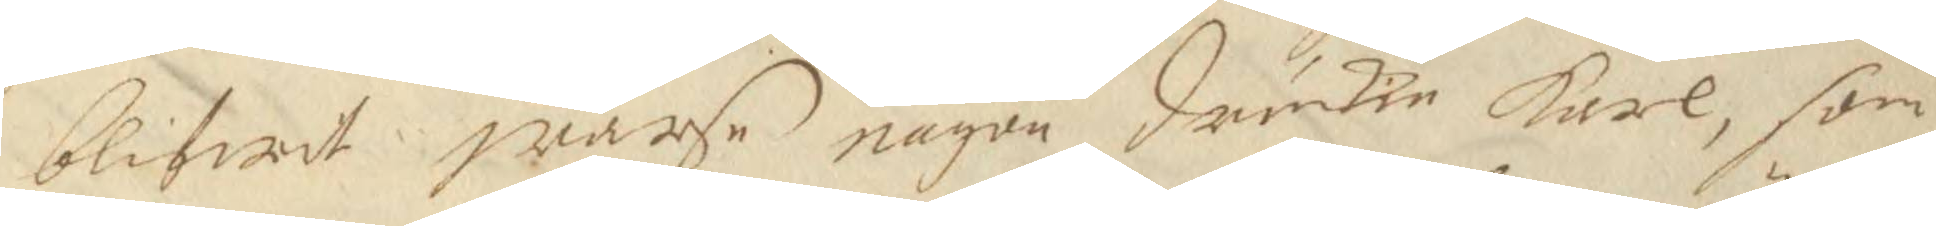blifwit warse någon druckien Karl, som
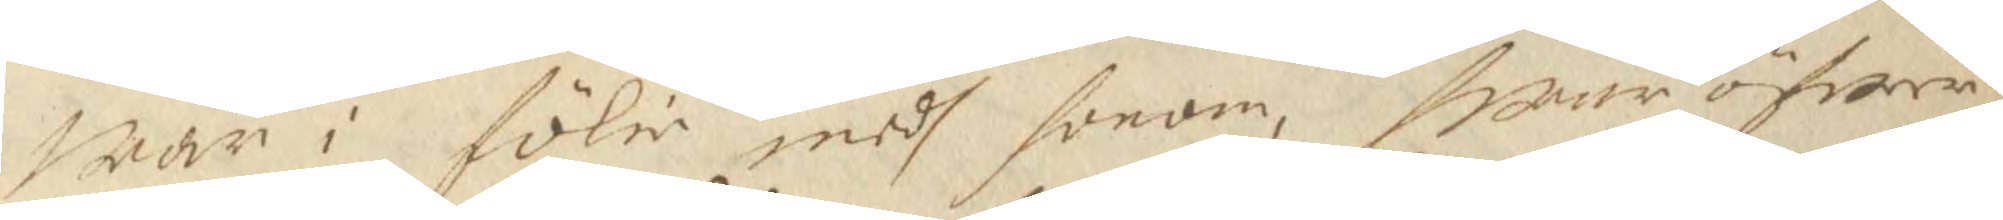war i fölie medh honom, Hwar öfwer
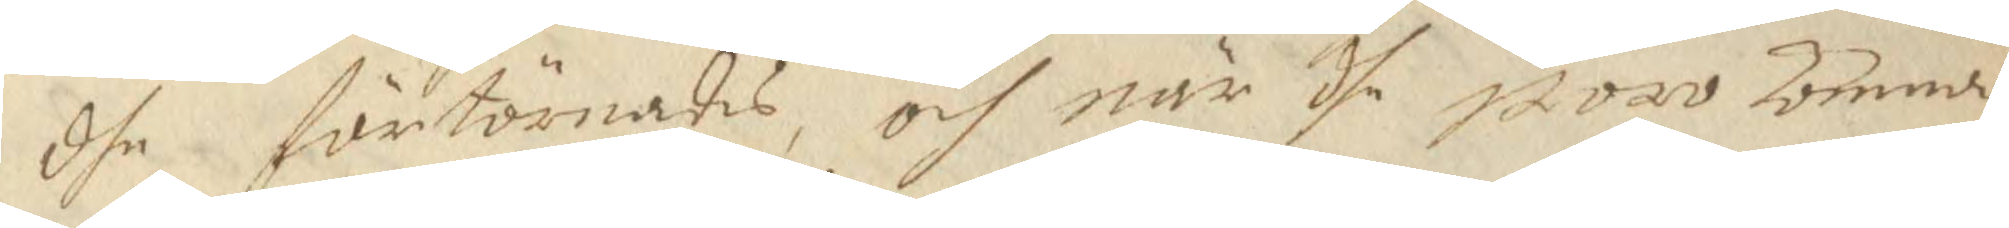dhe i förtörnades, och när dhe woro komnde
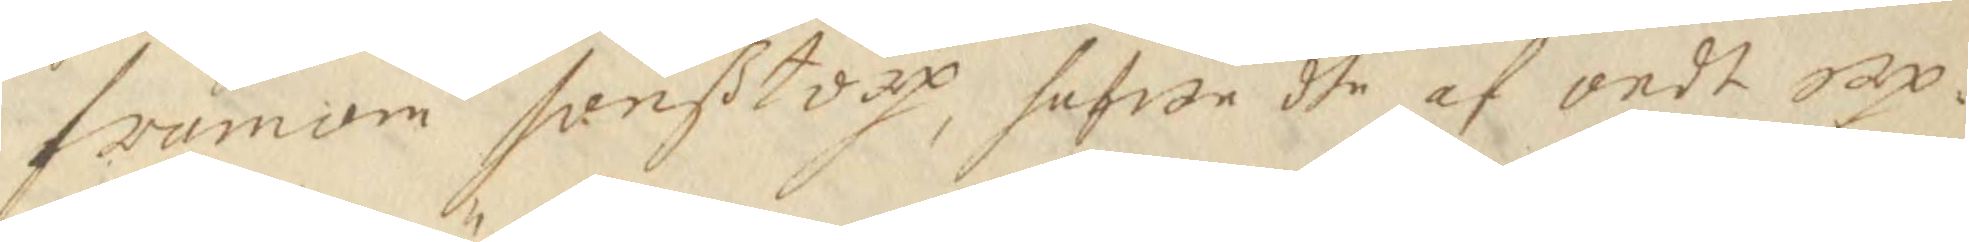framom sonßtorp, hafwe dhe af ondt up¬
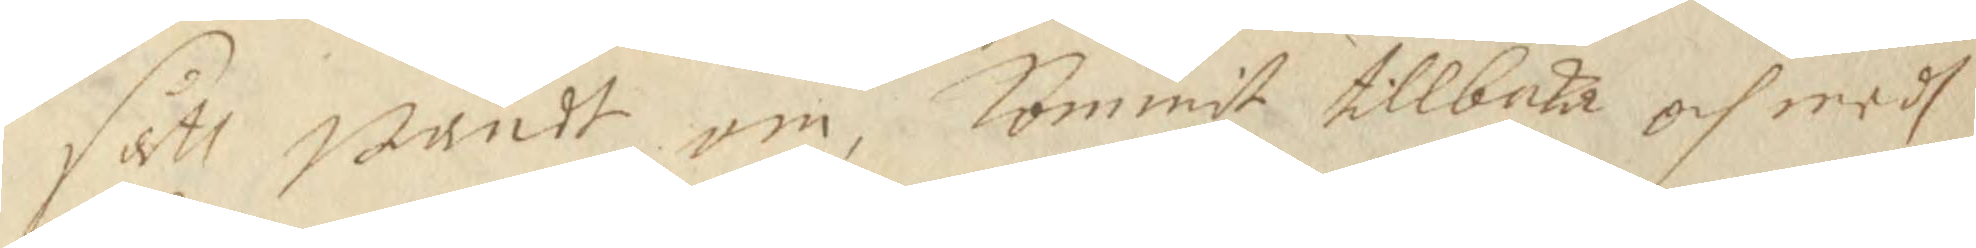sått wändt om, kommit tillbaka och medh
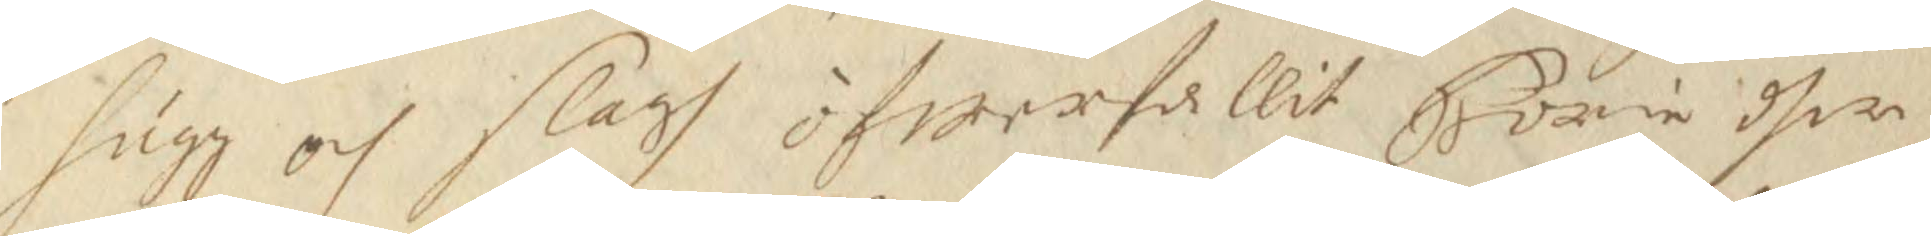hugg och slagh öfwerfallit Börie dher
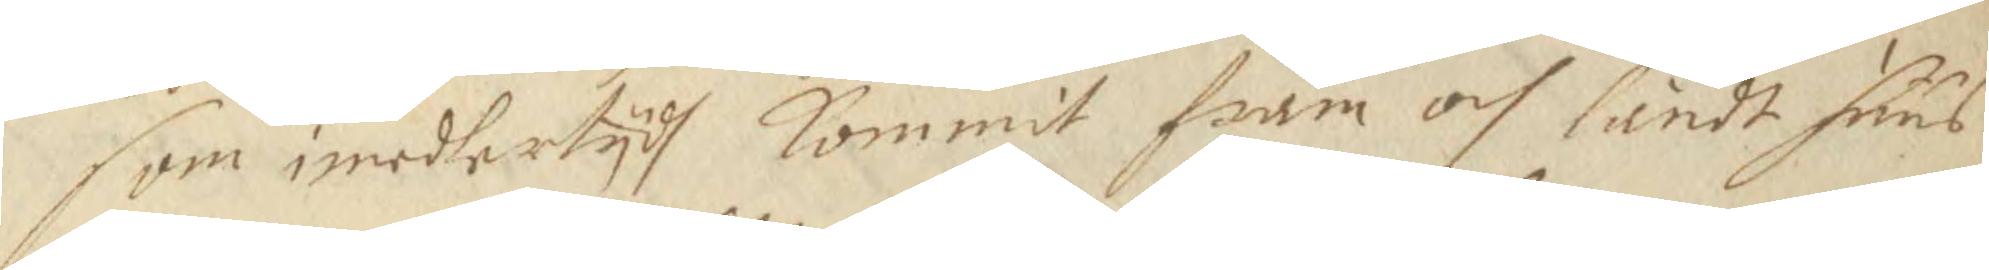som imedlertydh kommit fram och låndt huus
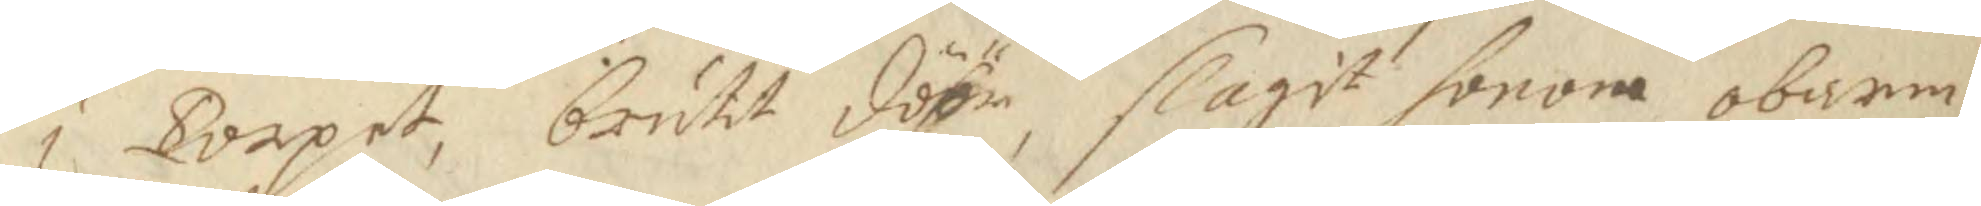i Torpet, brutit döhr, slagit honom obarm¬
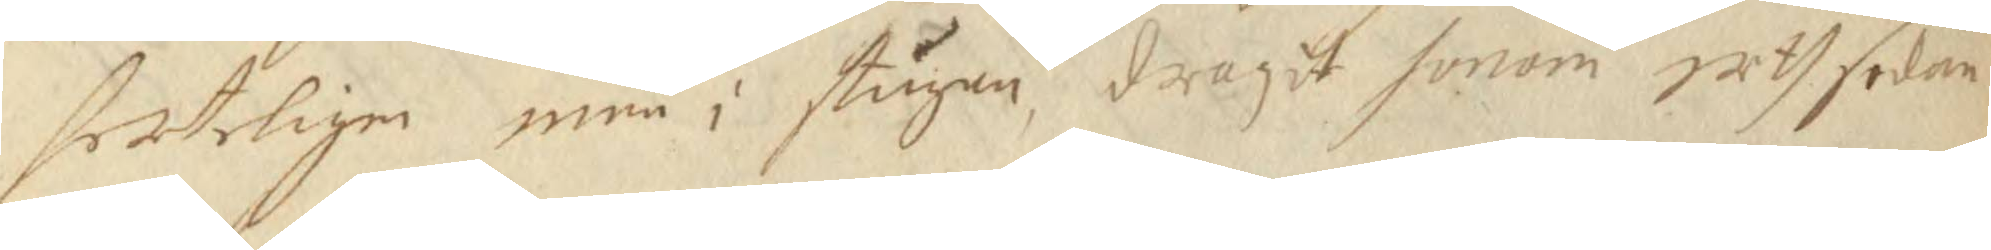herteligen inni i stugun, dragit honom uth sedan
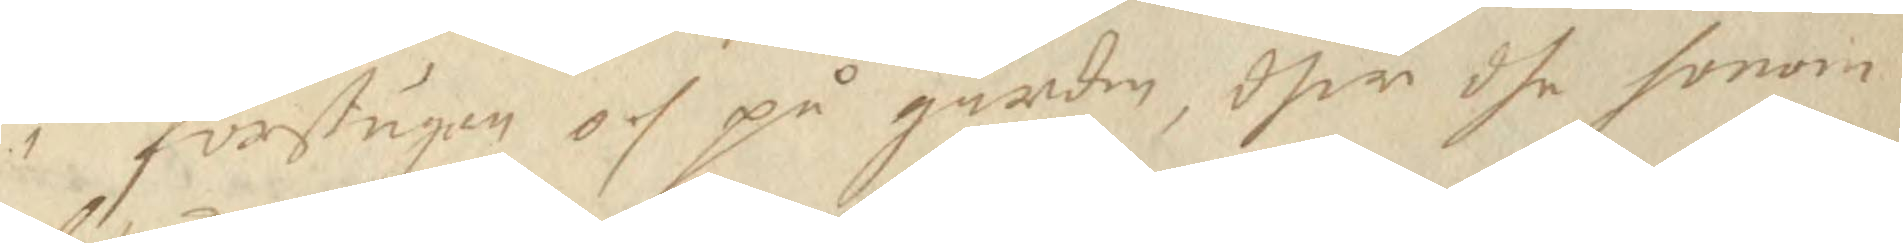i förstugun och på gården, dher dhe honom
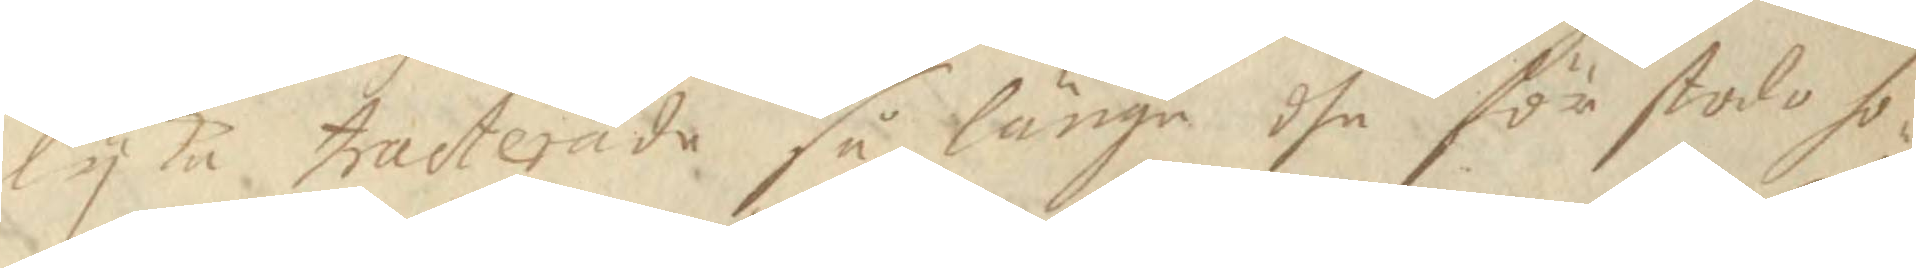lyka tracterade så länge dhe för stodo ho¬
